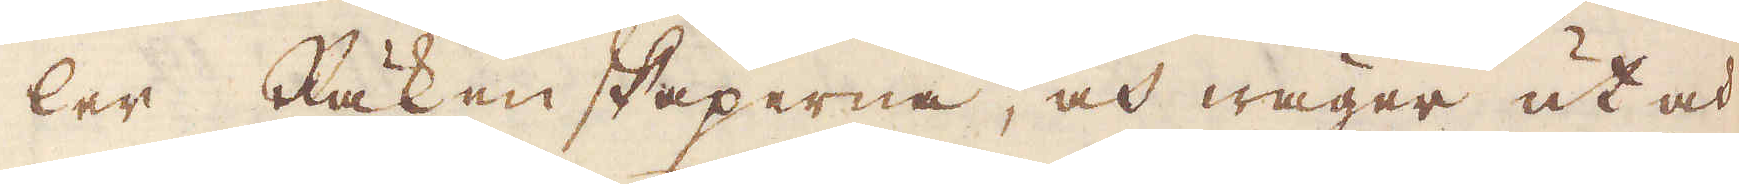ler Räkenskaperna, och wäger ut och
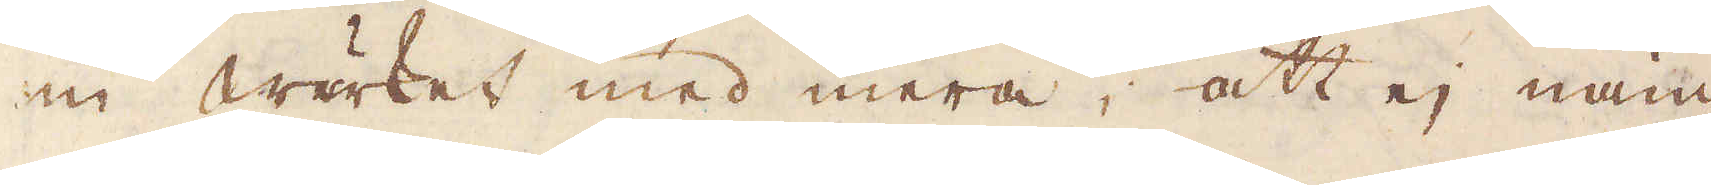in wärket med mera, att ej näm-
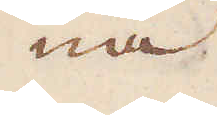na
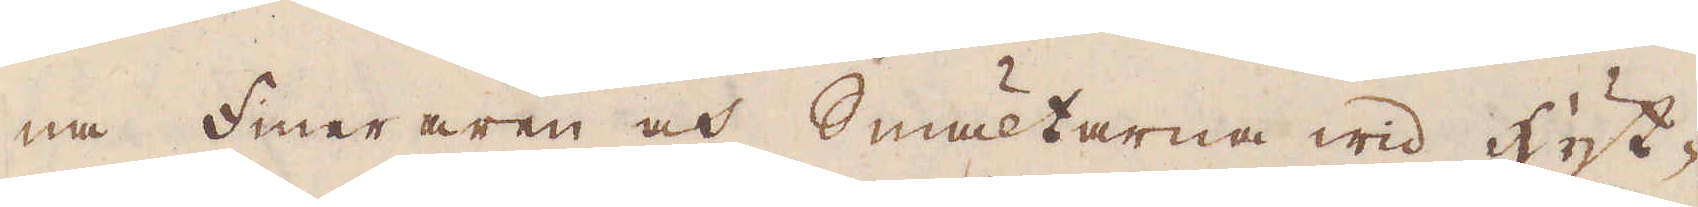na Fineraren och Smältarna wid hyt-
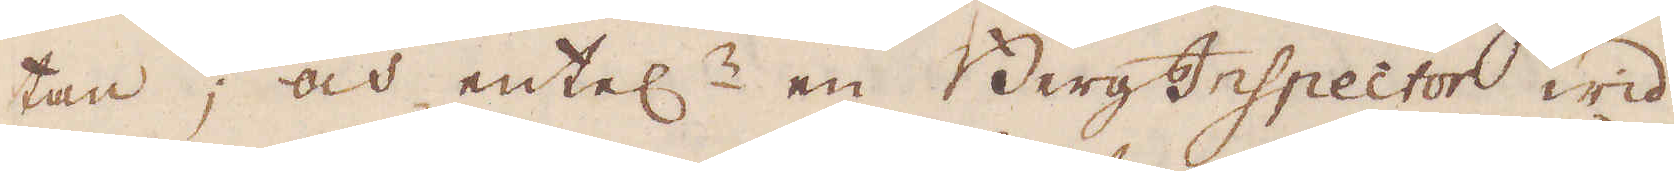tan; och entel:n en Berg Inspector wid
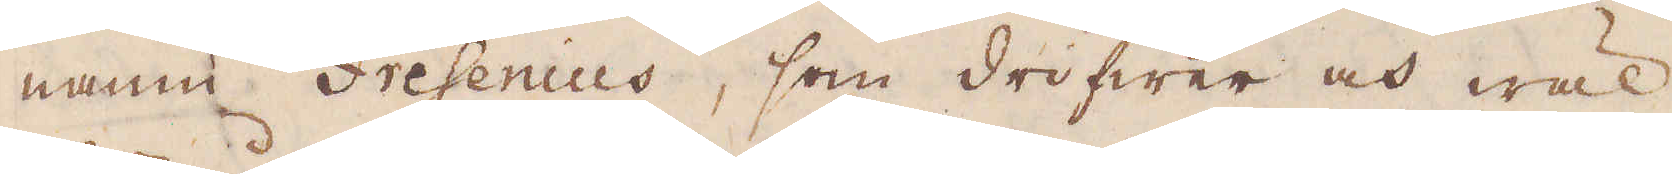namn Fresenius, som drifwer och wäl
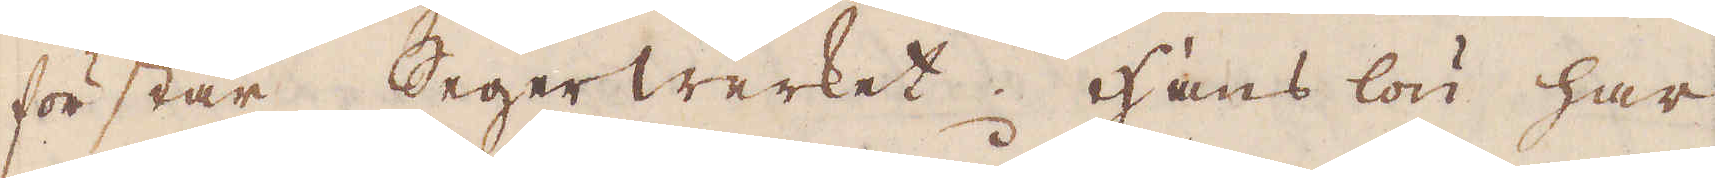förstår Segerwerket. Hans lön har
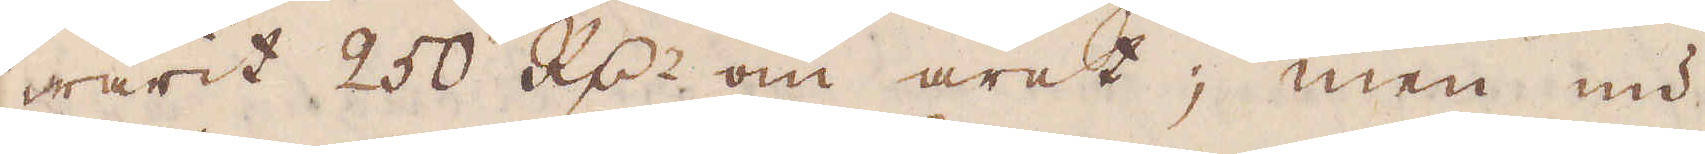warit 250 R:dr om året; men nu
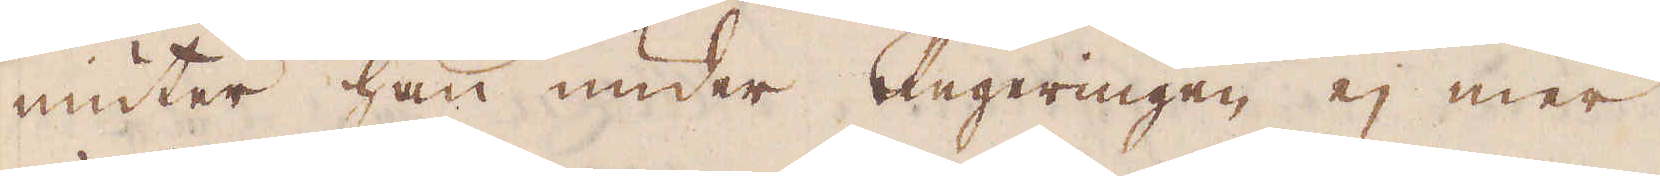niuter han under Regeringen ej mer
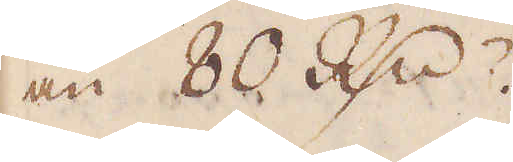än 80 R:dr.
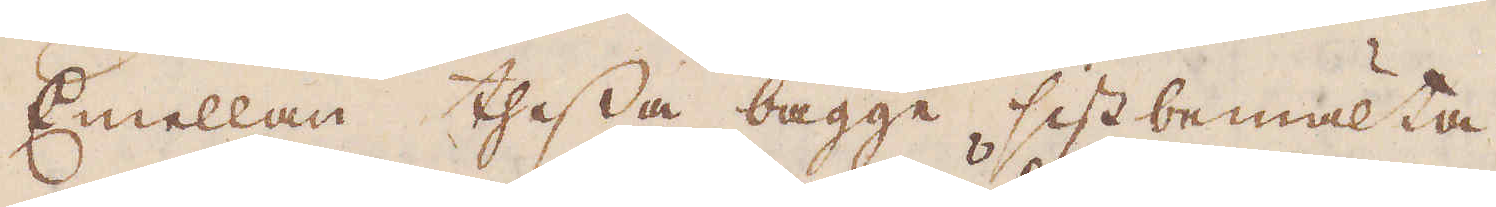Emellan thessa bägge sistbemälta
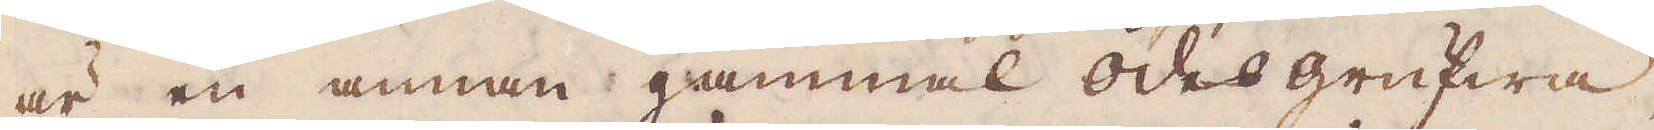är en annan gammal ödes grufwa,
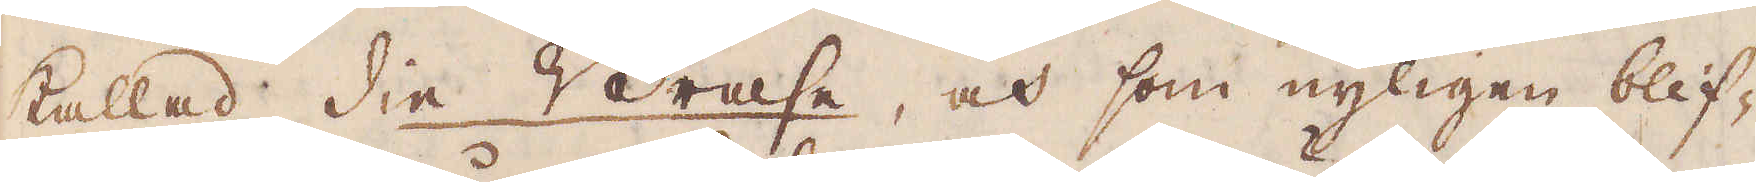kallad die Brase, och som nyligen blif-
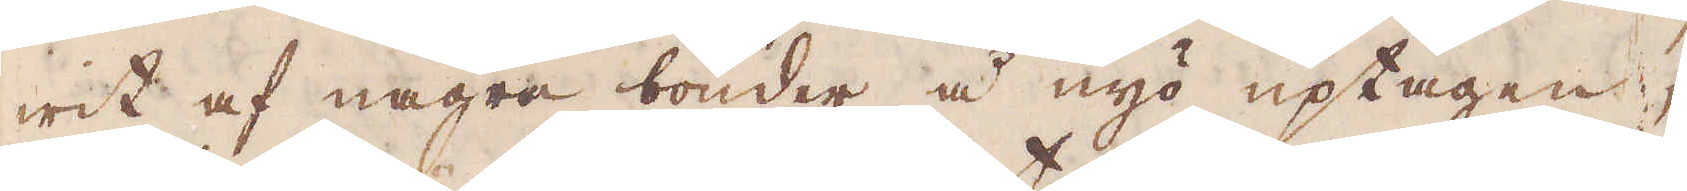wit af några bönder å nyo uptagen,
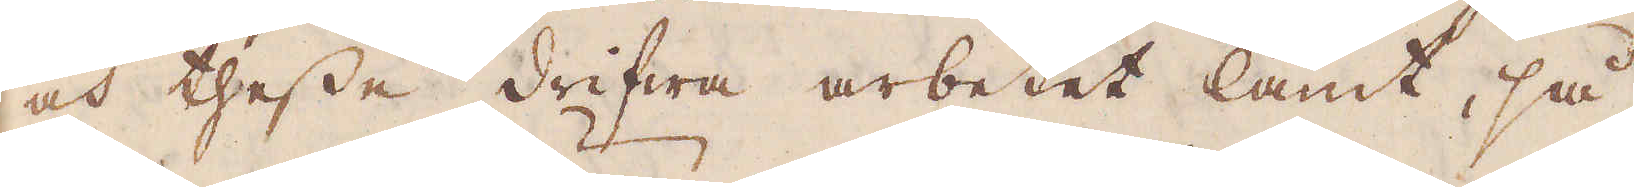och thesse drifwa arbetet lamt, så
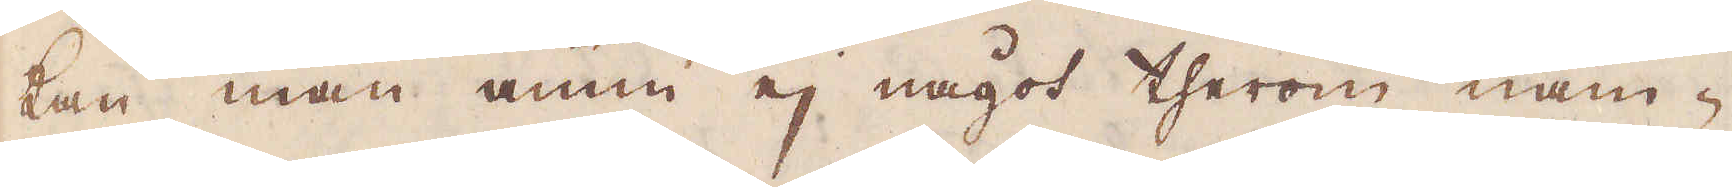kan man ännu ej något therom näm-
